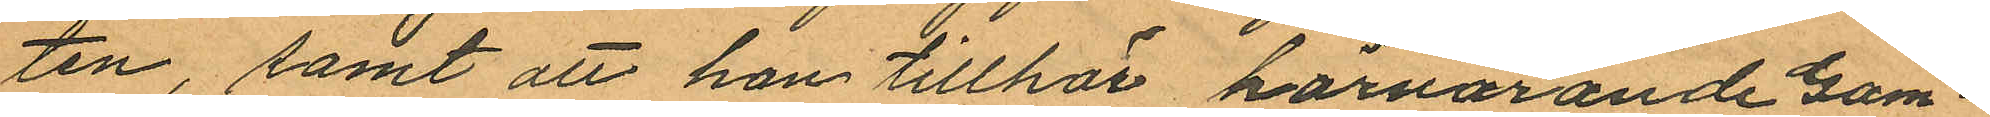ten, samt att han tillhör härvarande Gam¬
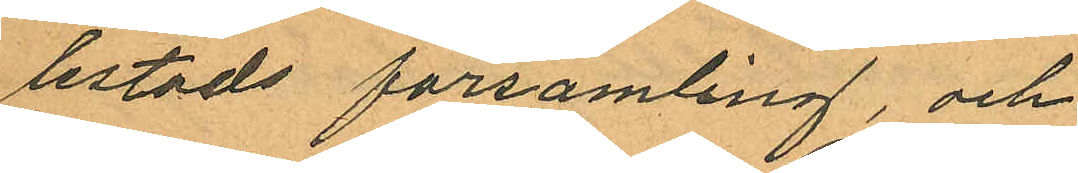lestads församling, och
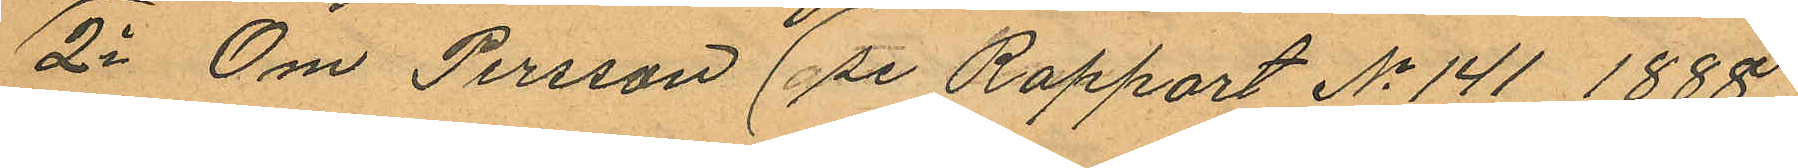2o Om Persson (se Rapport No 141 1888.
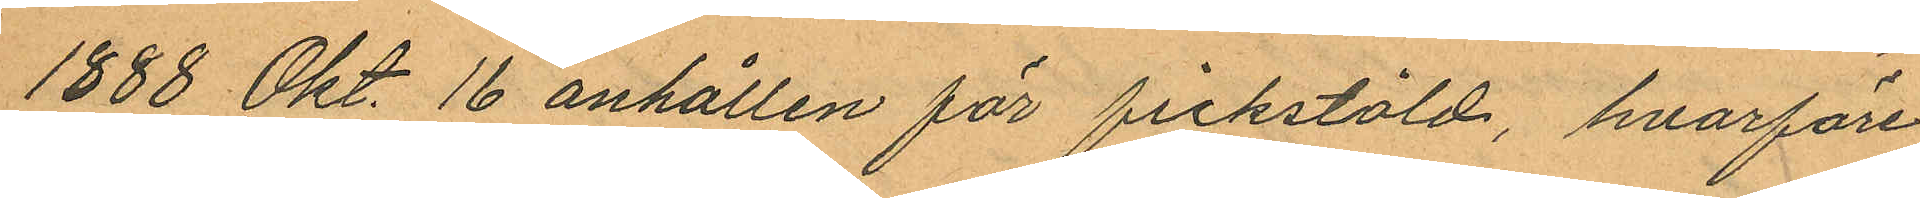1888 Okt. 16 anhållen för fickstöld, hvarföre
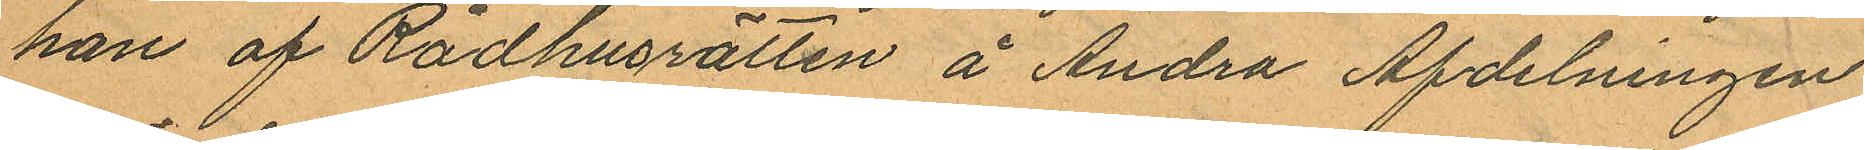han af Rådhusrätten å Andra Afdelningen
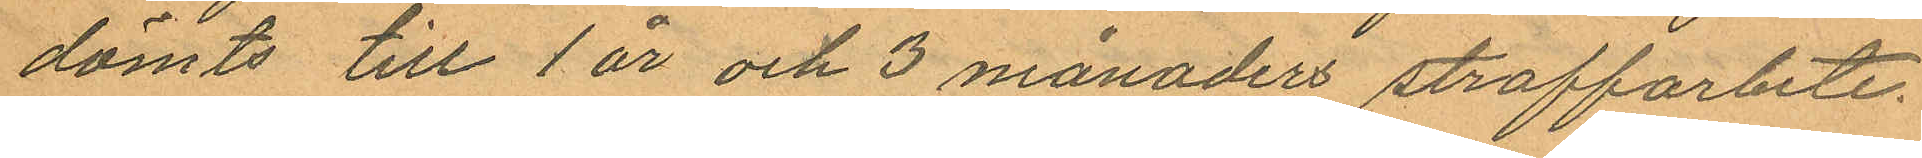dömts till 1 år och 3 månaders straffarbete.
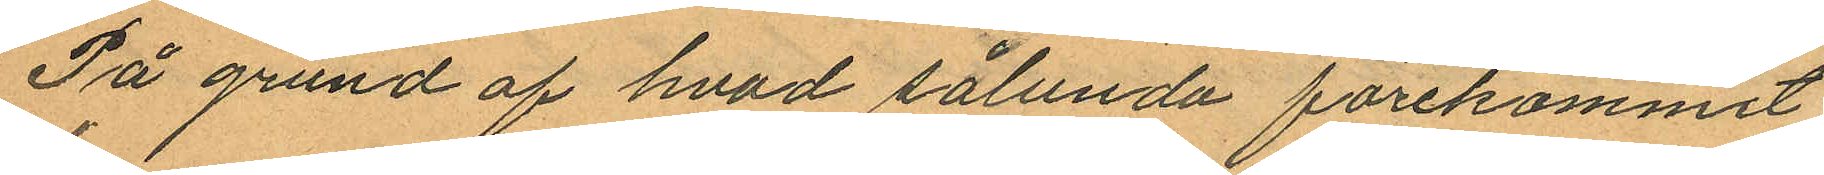På grund af hvad sålunda förekommit
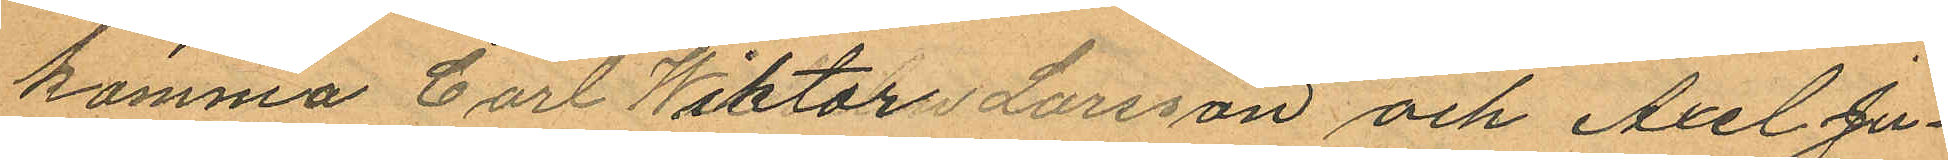komma Carl Wiktor Larsson och Axel Ju¬
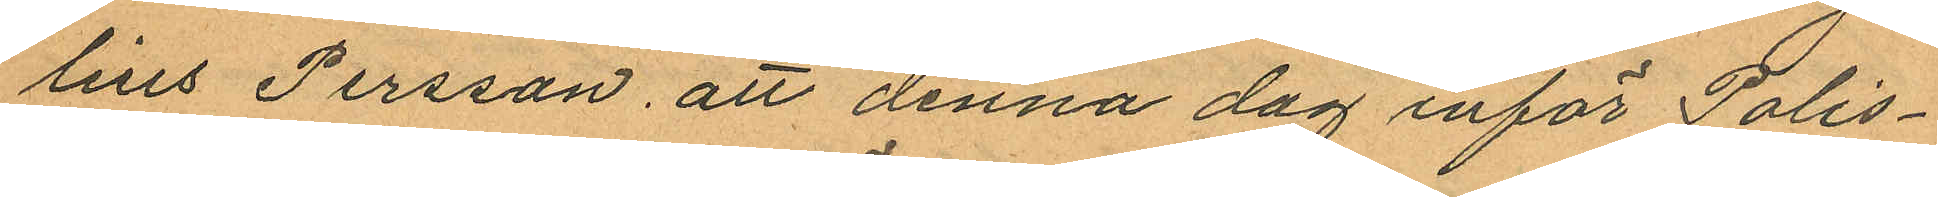lius Persson, att denna dag inför Polis¬
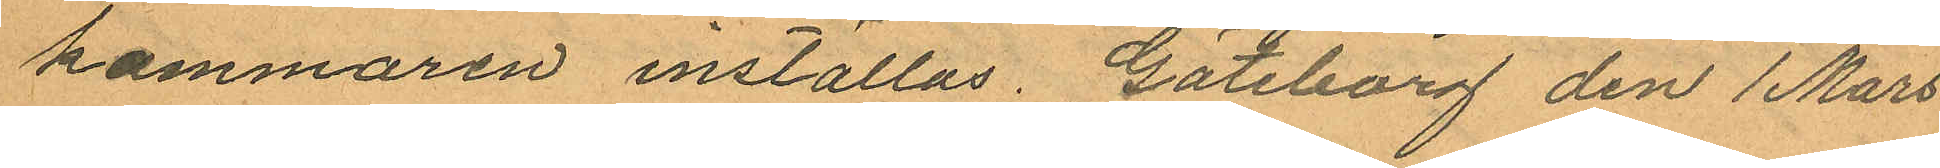kammaren inställas. Göteborg den 1 Mars
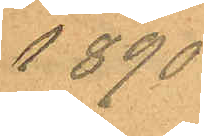1890.
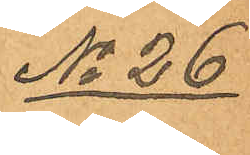No 26
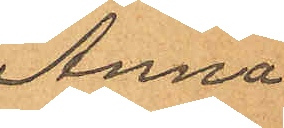Anna
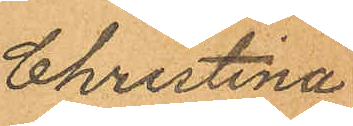Christina
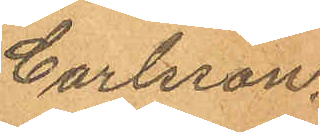Carlsson.
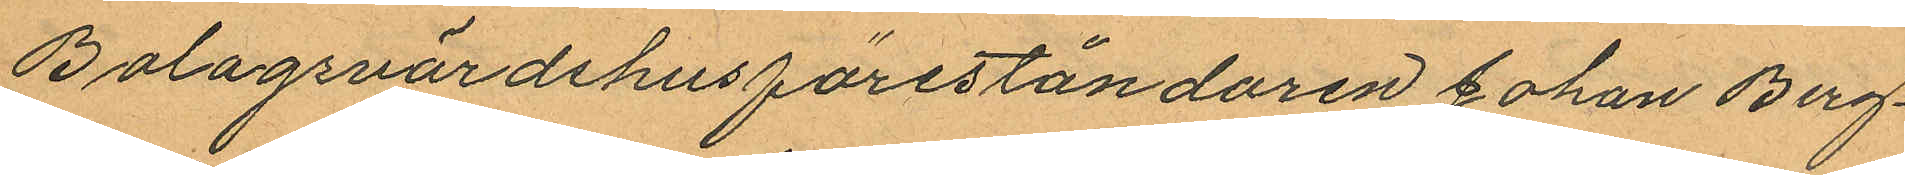Bolagsvärdshusföreståndaren Johan Berg¬
